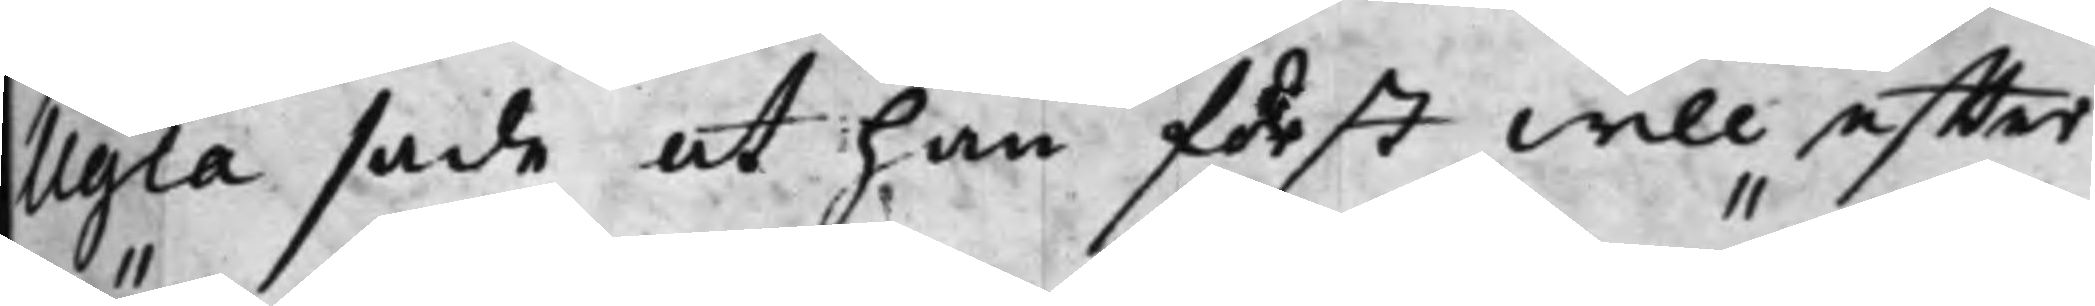Ugla sade at han först will effter
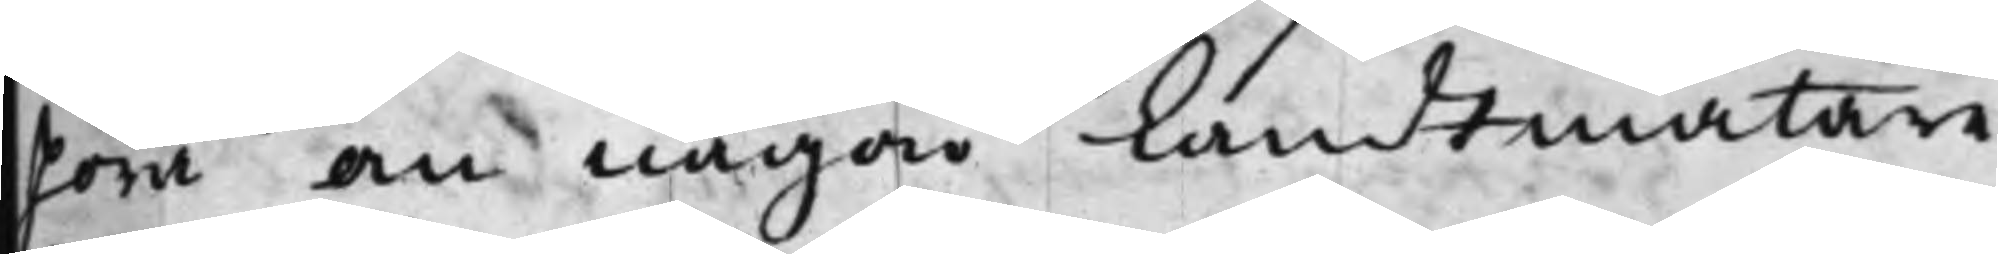höra om någon Landtmätare
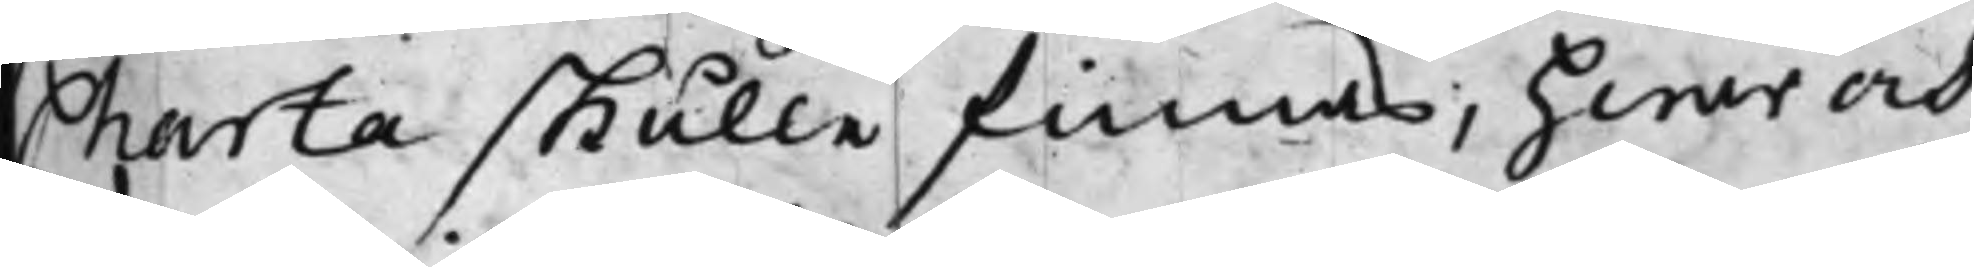Charta skulle finnas, hwar och
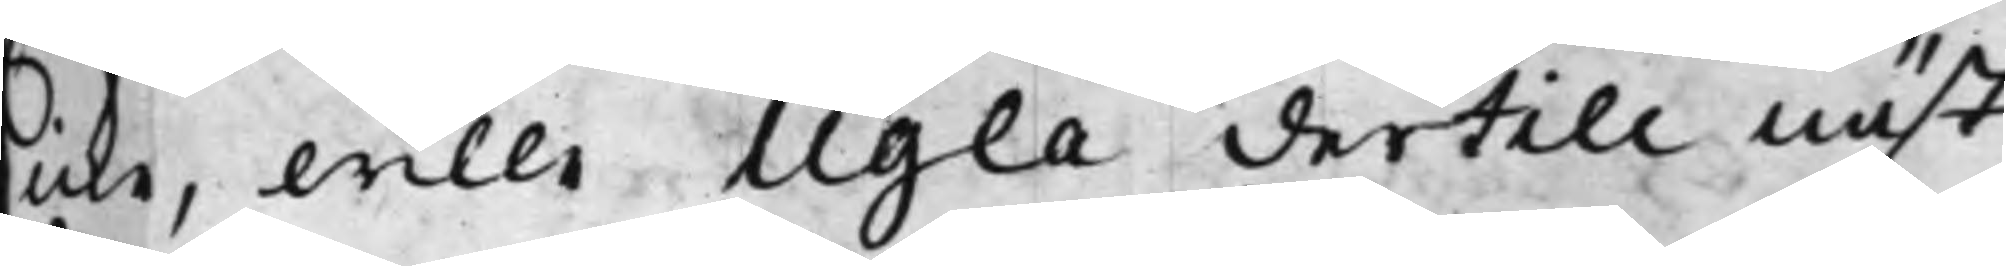icke, wille Ugla dertill näst¬
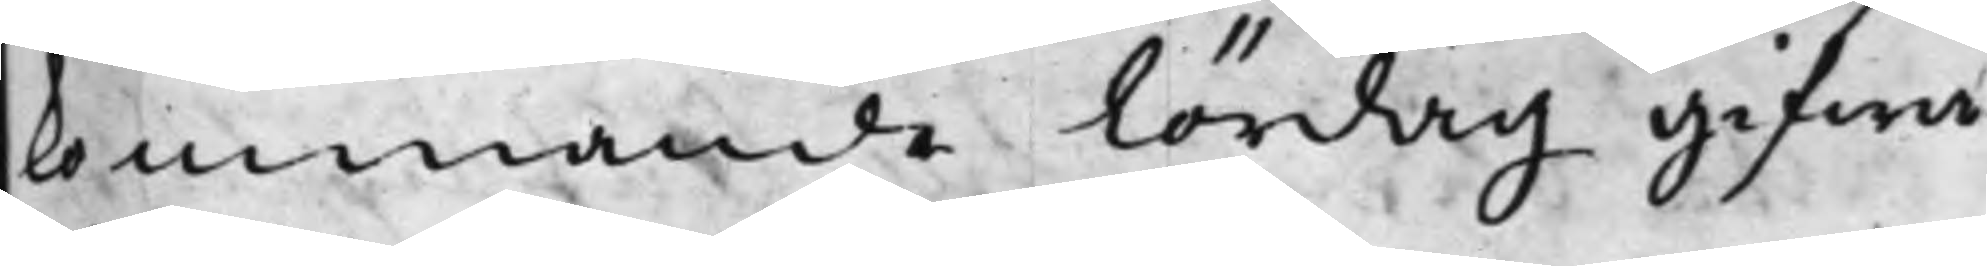kommande Lördag gifwa
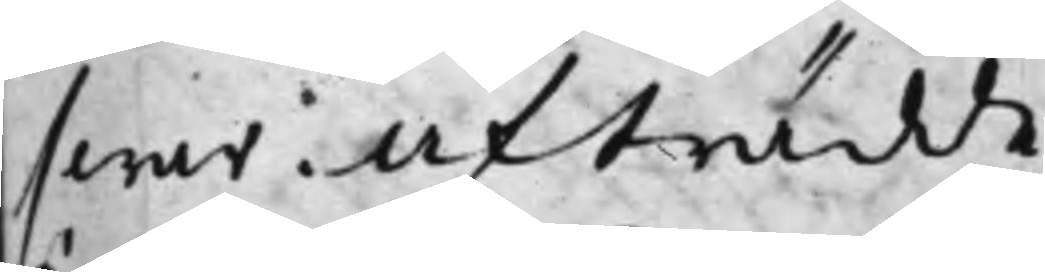swar: Afträdde.
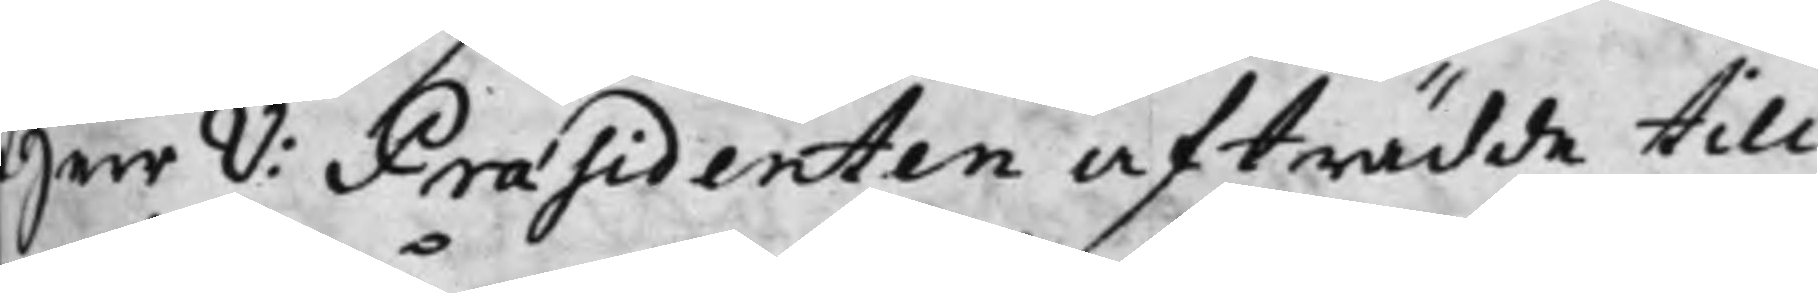Herr V: Praesidenten afträdde till¬
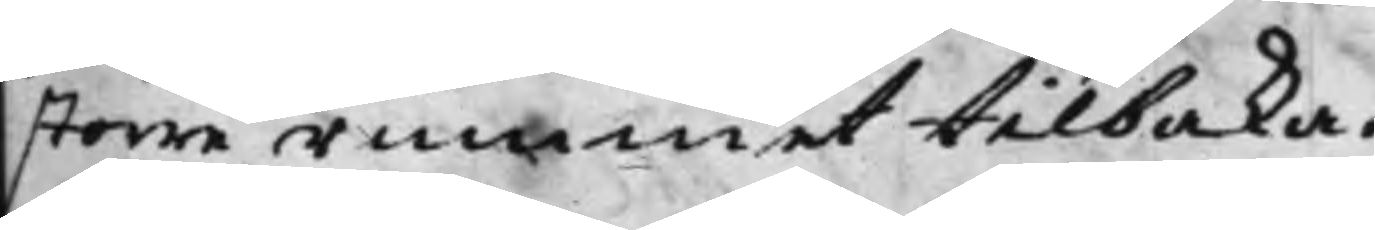större rummet tilbaka.
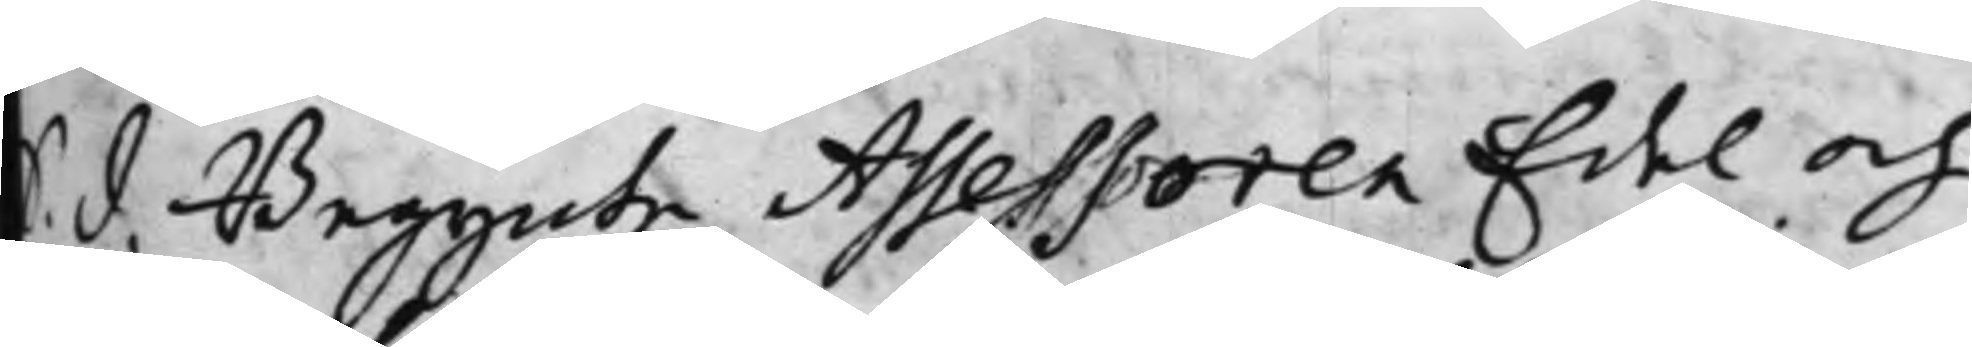S. d. Begynte Assessoren Edel och
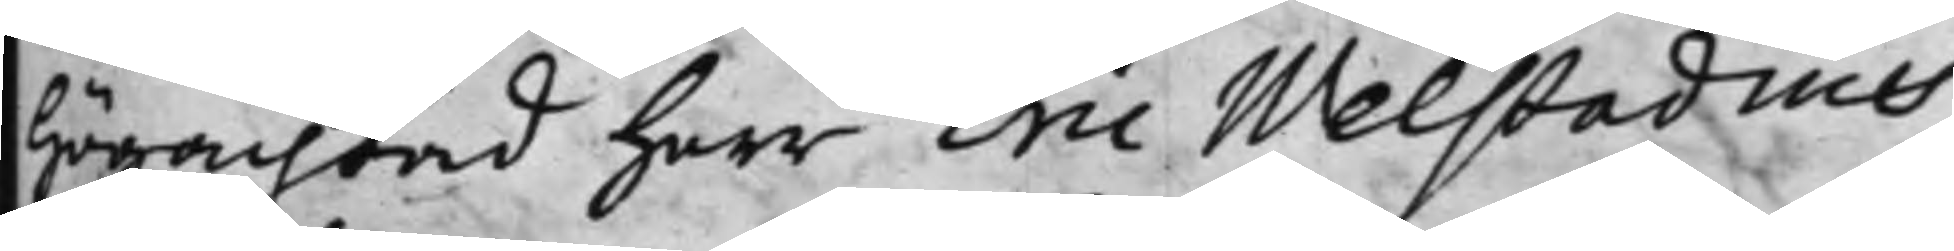Högachtad Herr Eric Welstadius
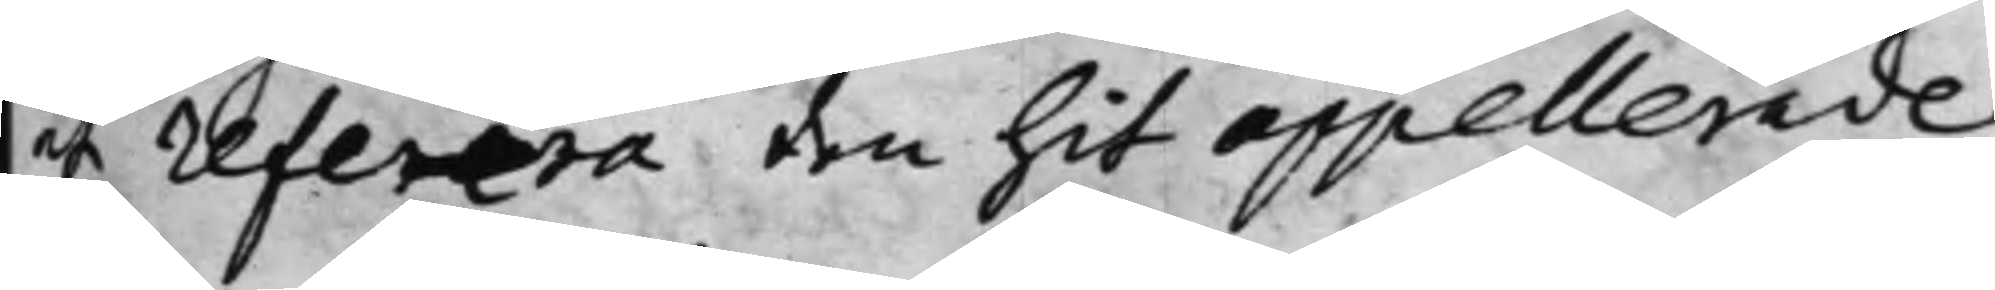at referera den hit appellerade
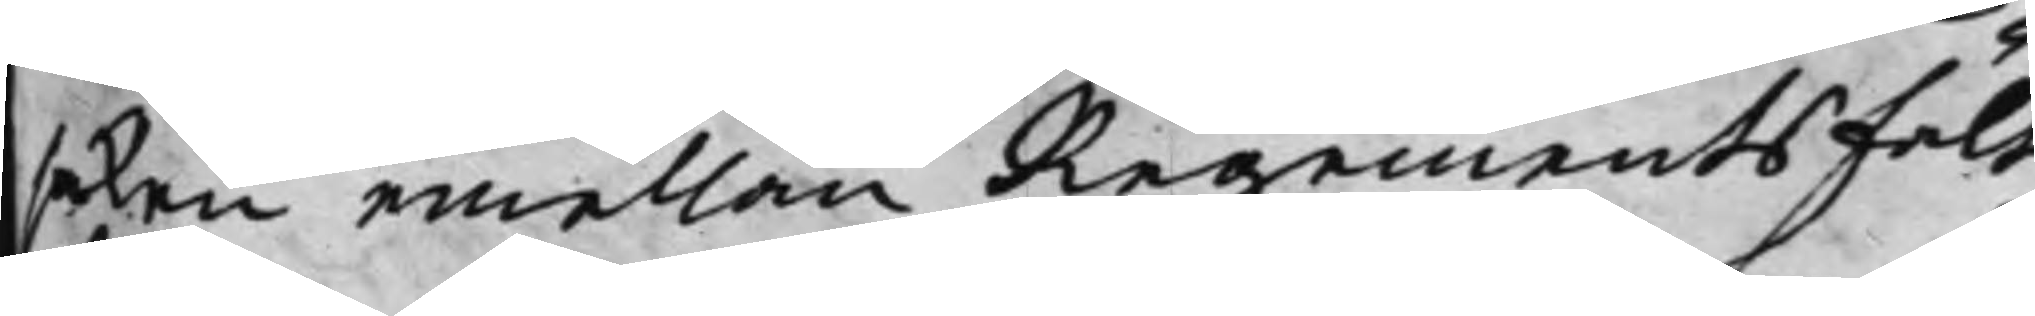saken emellan Regementsfält¬
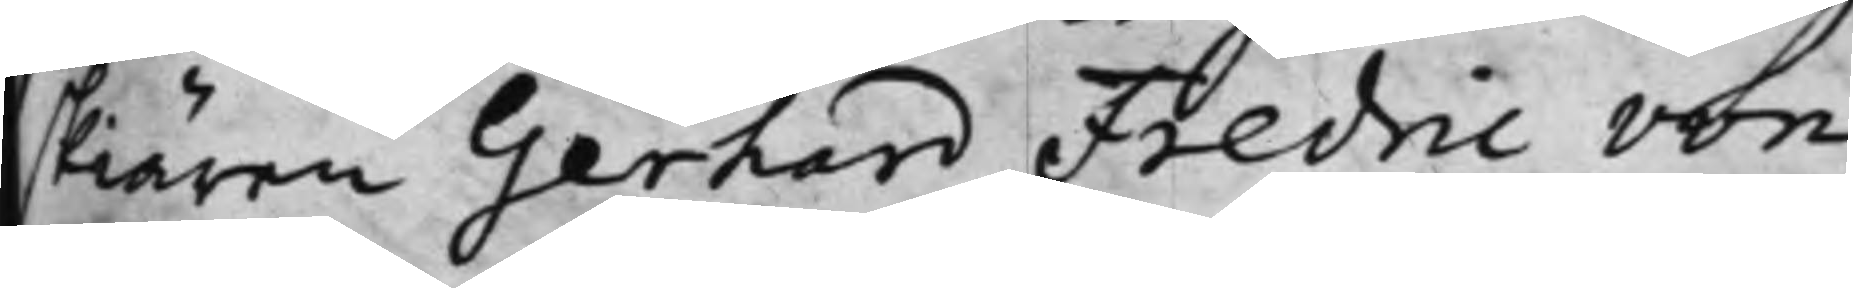skiären Gerhard Fredric von
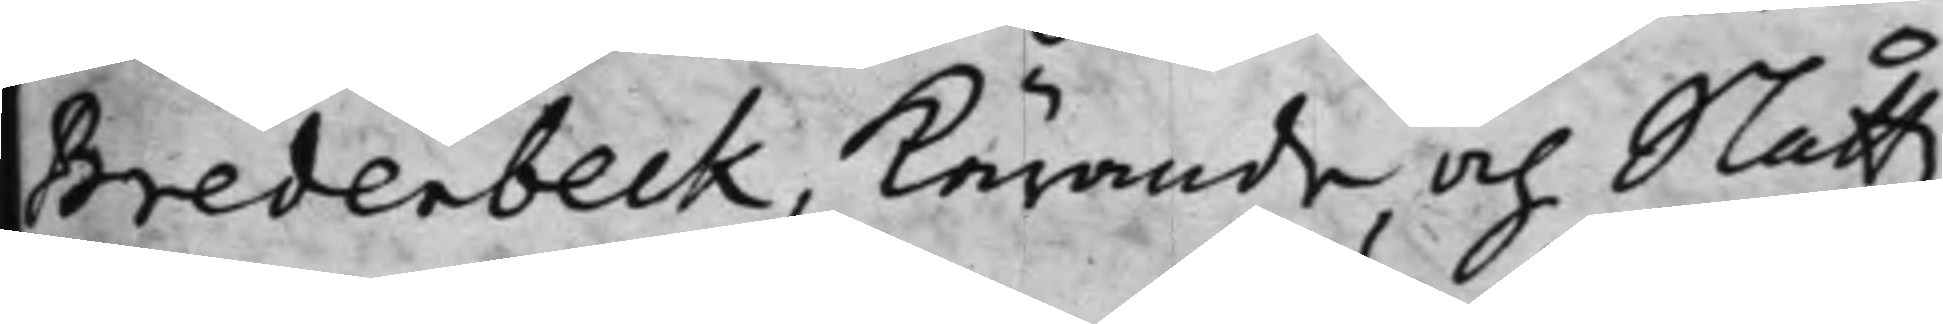Bredenbeck, Kärande, och Slåttz¬
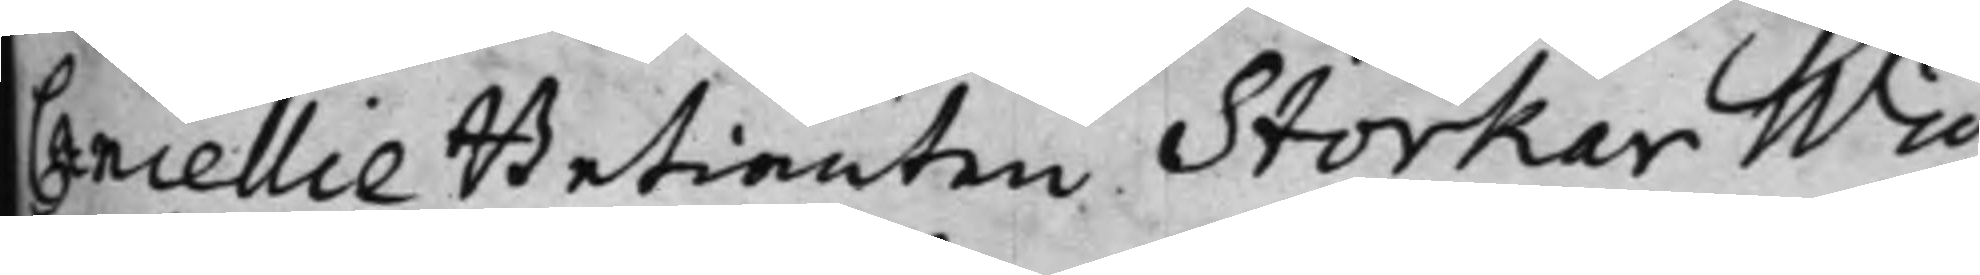Cancellie Betiänten Storker Wid¬
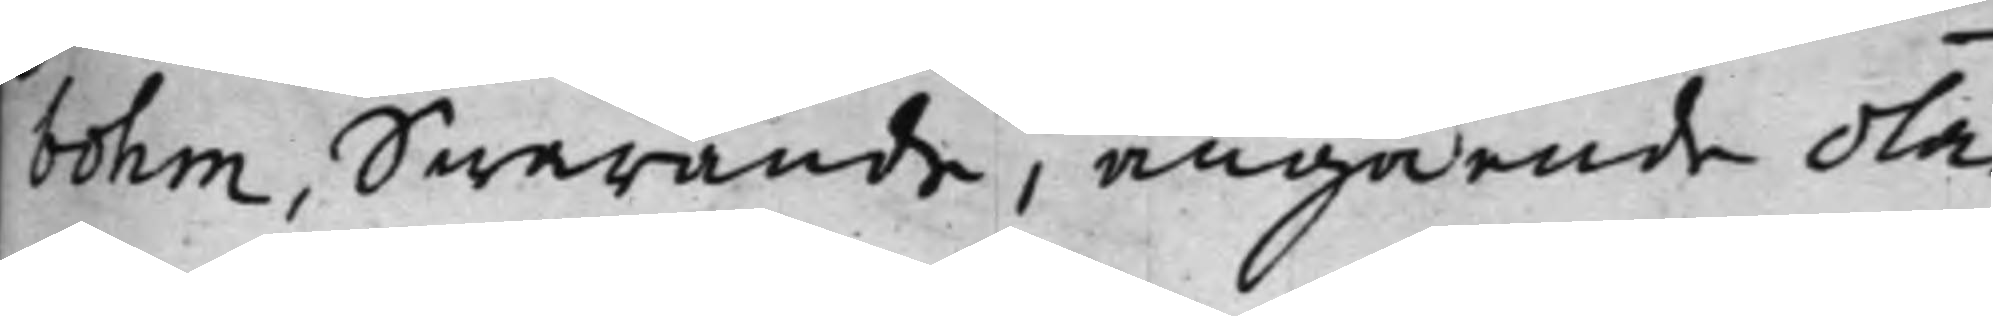bohm, Swarande, angående olä¬
